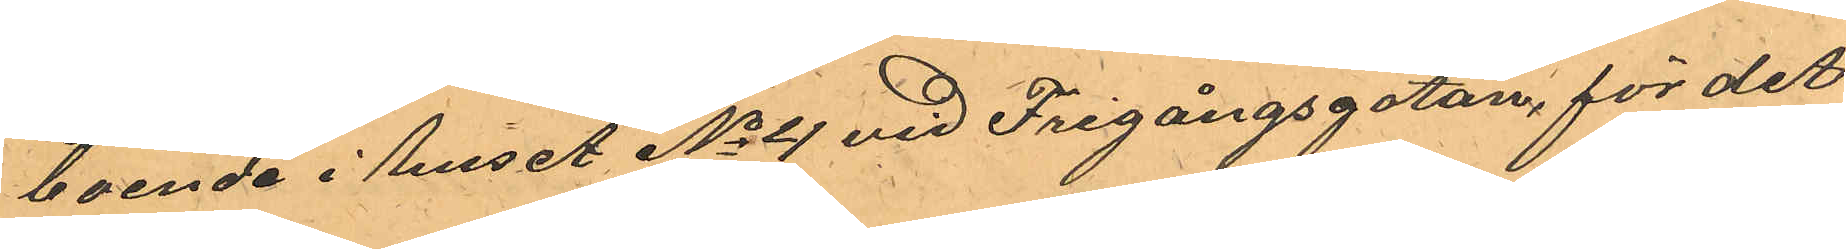boende i huset No 4 vid Frigångsgatan, för det
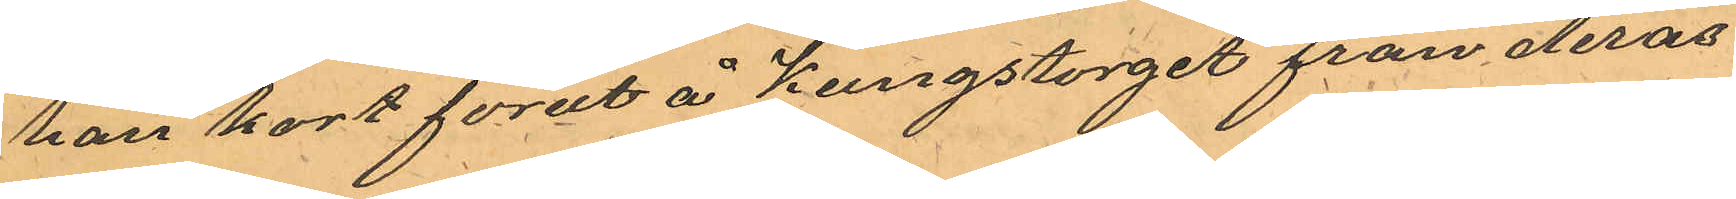han kort förut å Kungstorget från deras
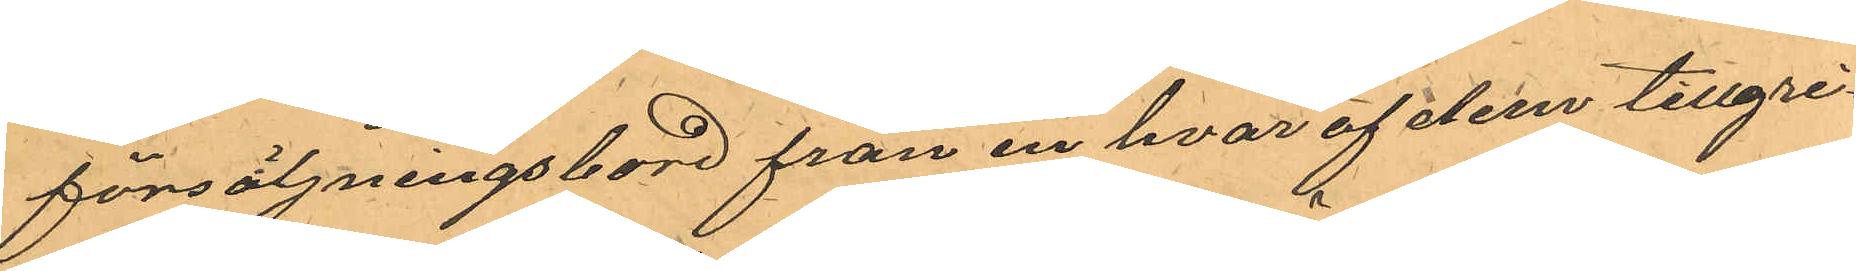försäljningsbord från en hvar af dem tillgri¬
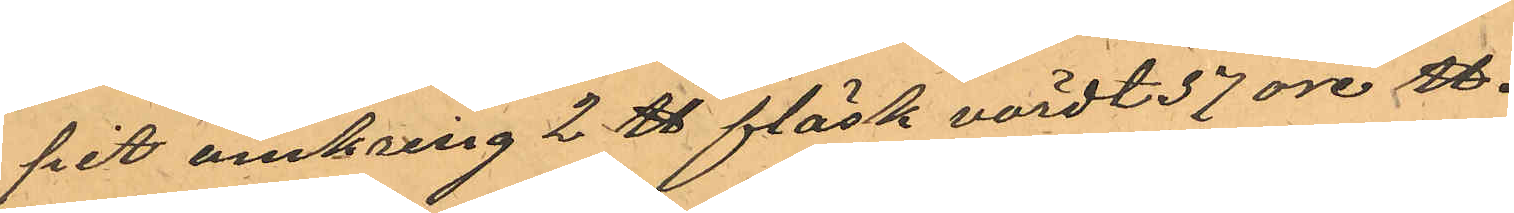pit omkring 2 ℔ fläsk värdt 37 öre ℔.
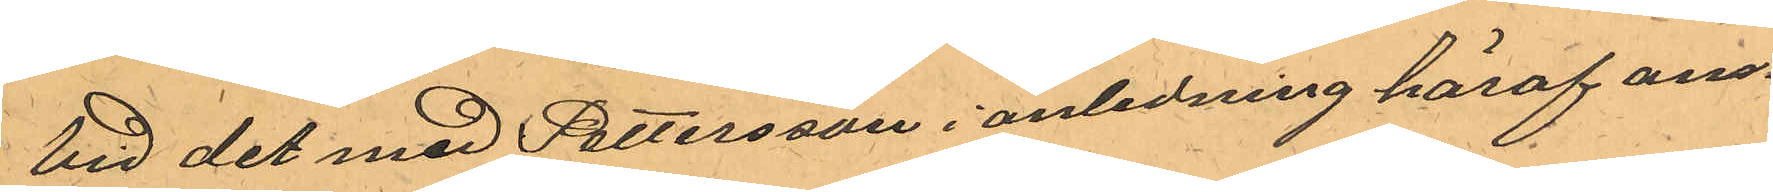Vid det med Pettersson i anledning häraf an¬
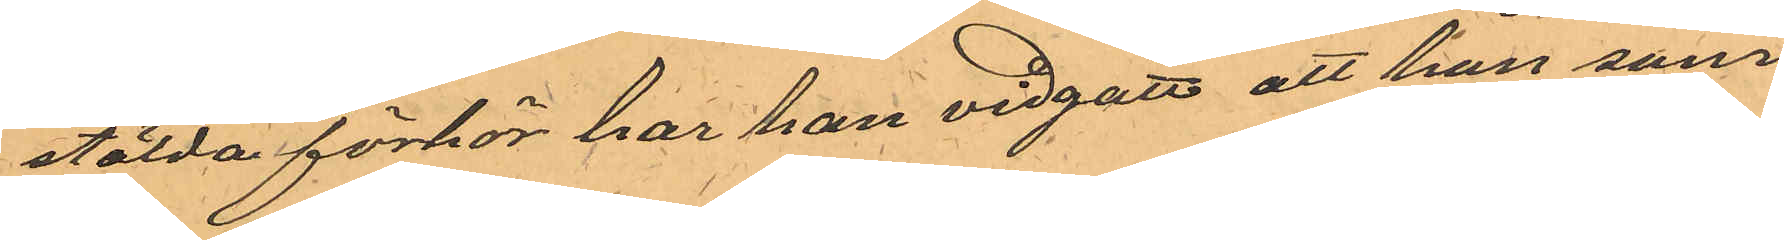stälda förhör har han vidgått att han som
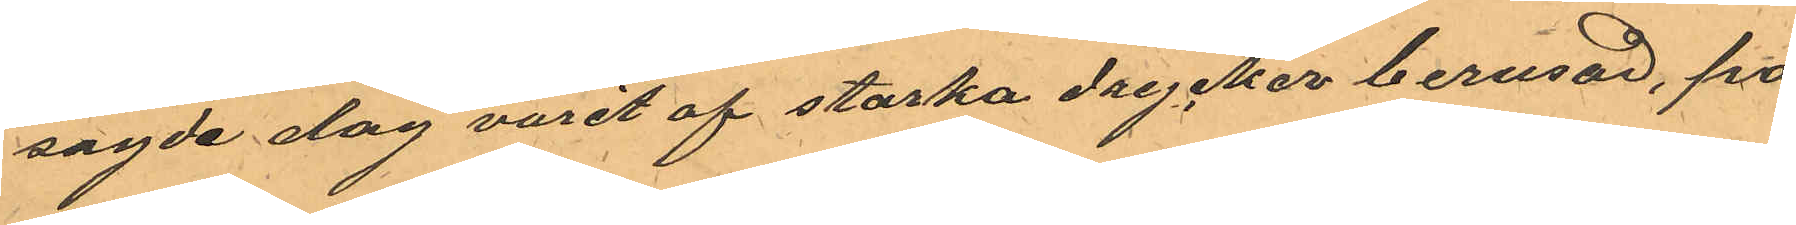sagde dag varit af starka drycker berusad, på
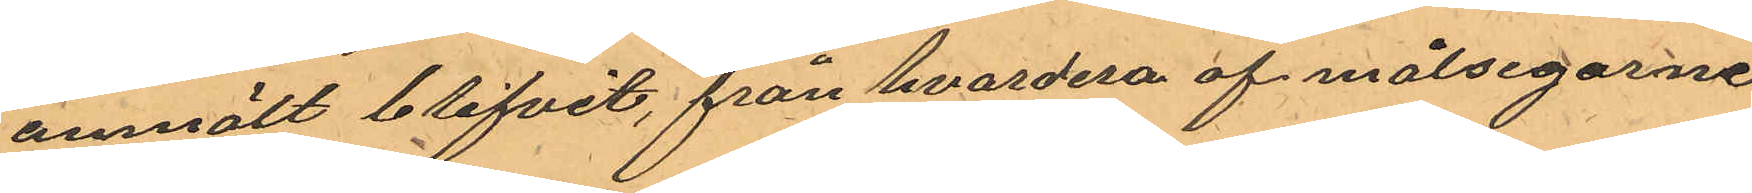anmält blifvit, från hvardera af målsegarne
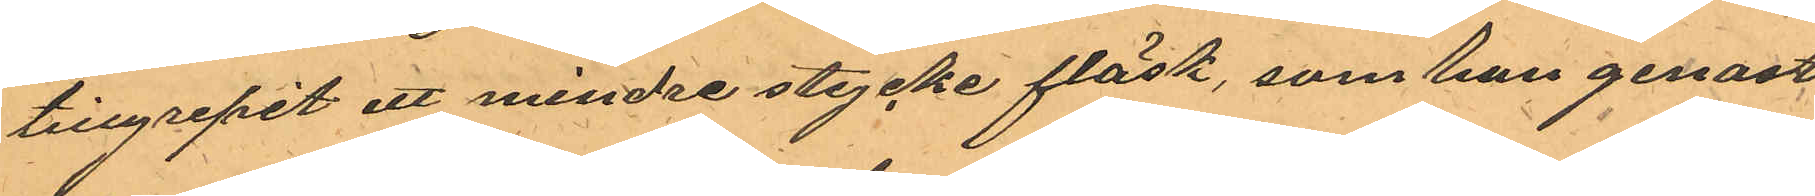tillgripit ett mindre stycke fläsk, som han genast
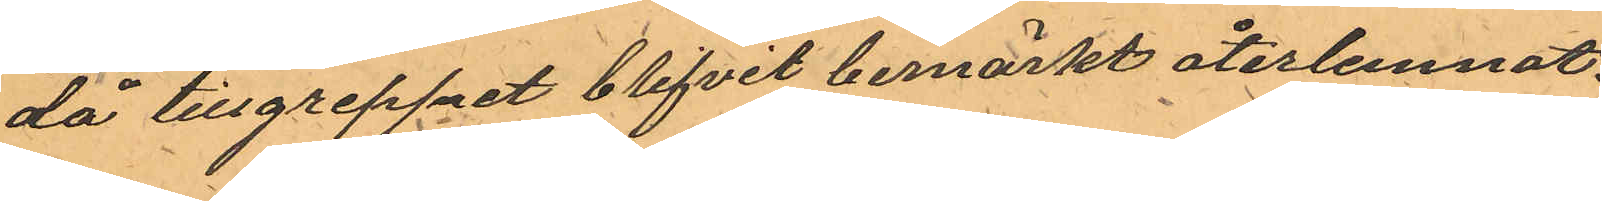då tillgreppet blifvit bemärkt återlemnat.
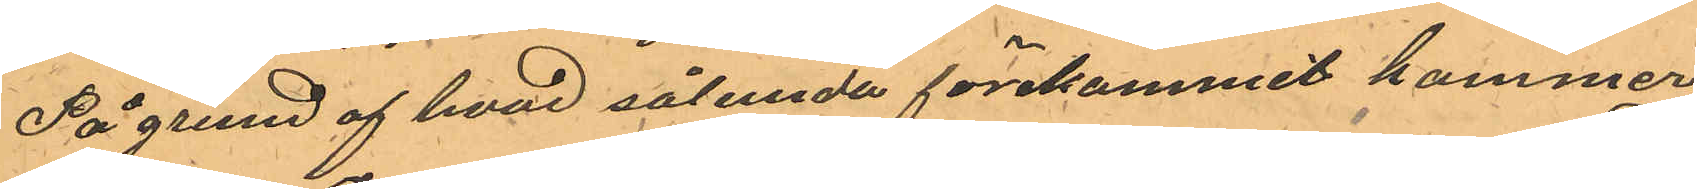På grund af hvad sålunda förekommit kommer
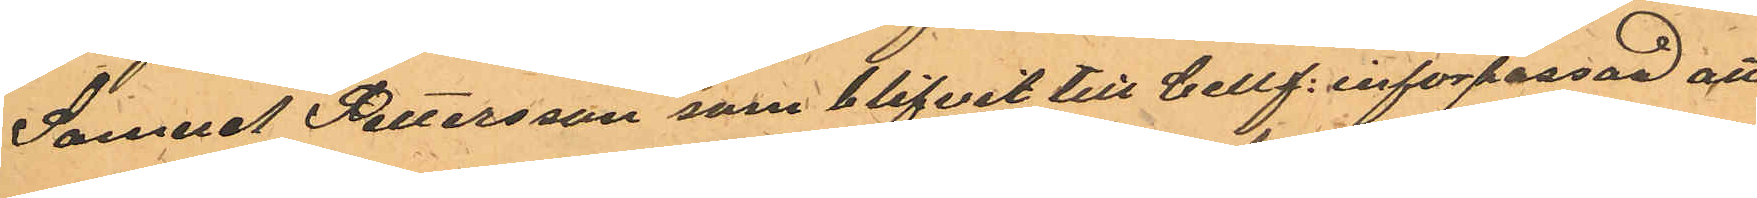Samuel Pettersson som blifvit till Cellf. införpassad att
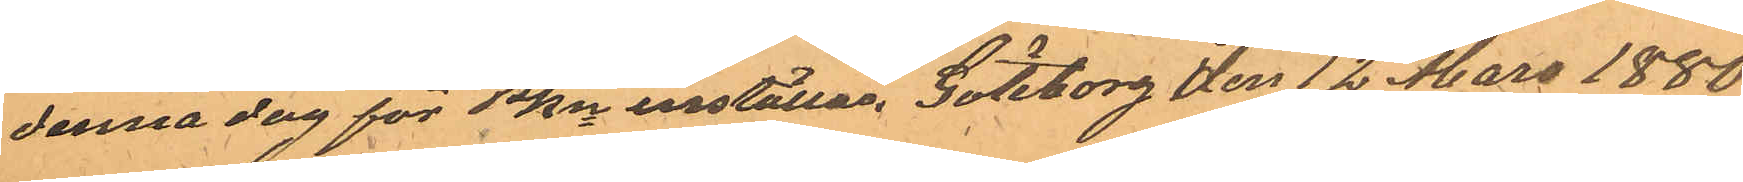denna dag för PKn inställas. Göteborg den 12 Mars 1880.
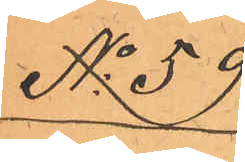No 59
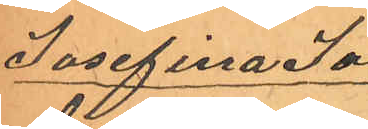Josefina Jo¬
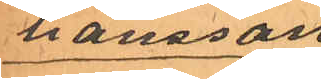hansson
